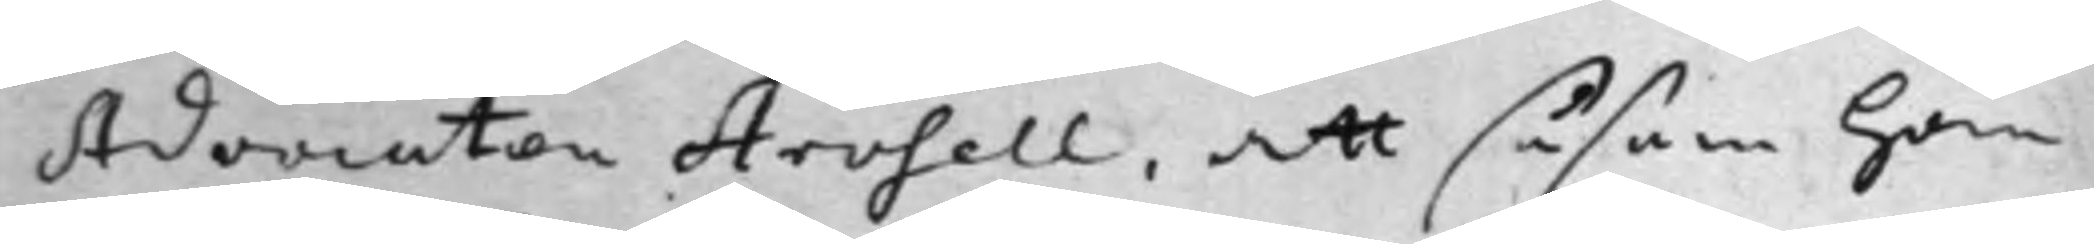Advocaten Arosell, att såsom Han
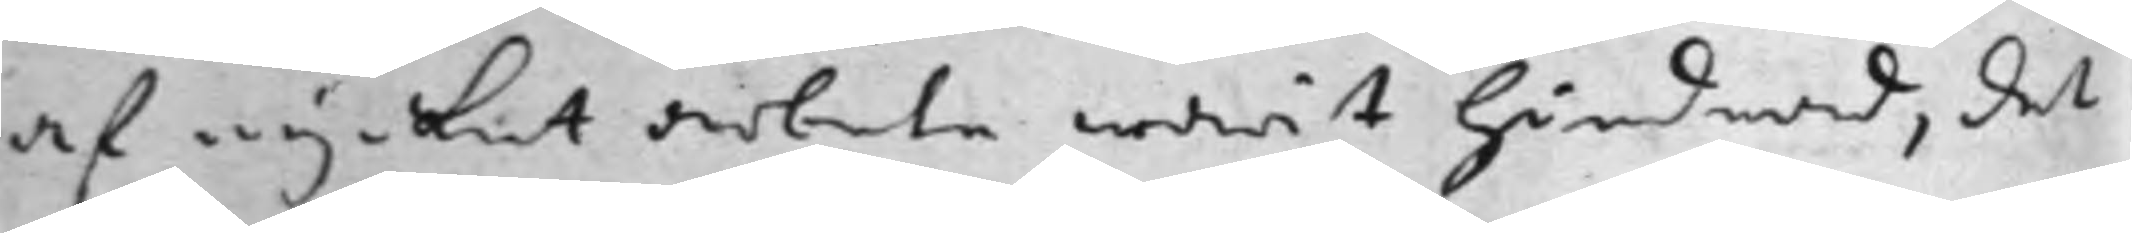af mycket arbete warit hindrad, det
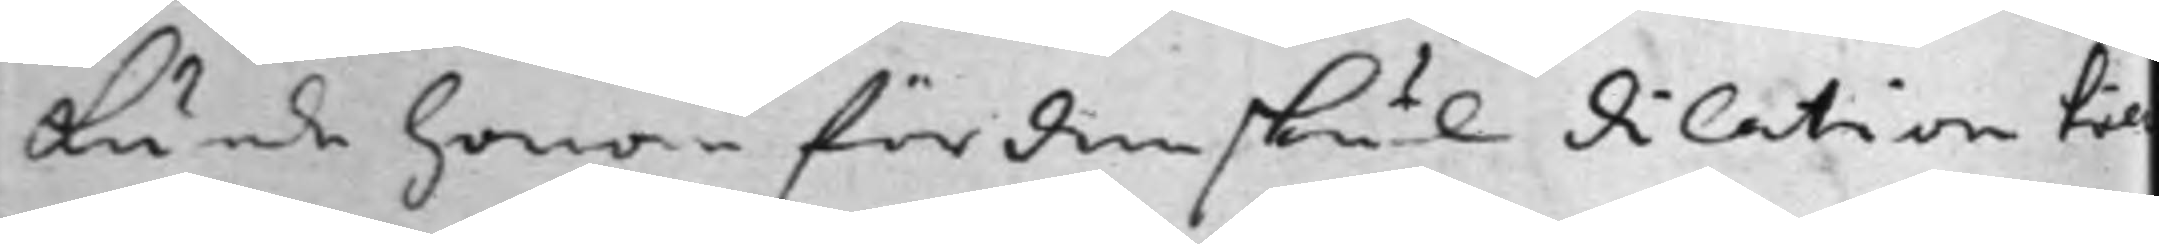kunde honom fördenskul dilation til
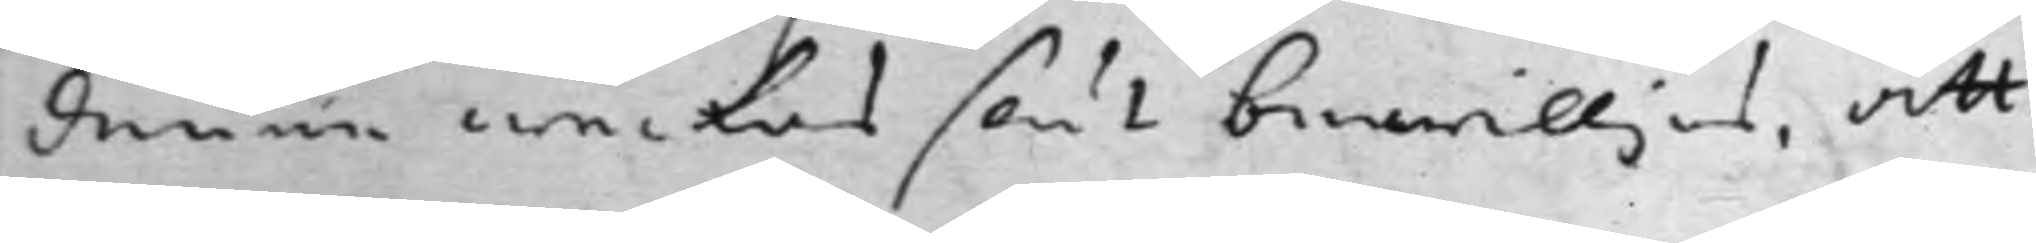denne weckas slut bewilljas, att
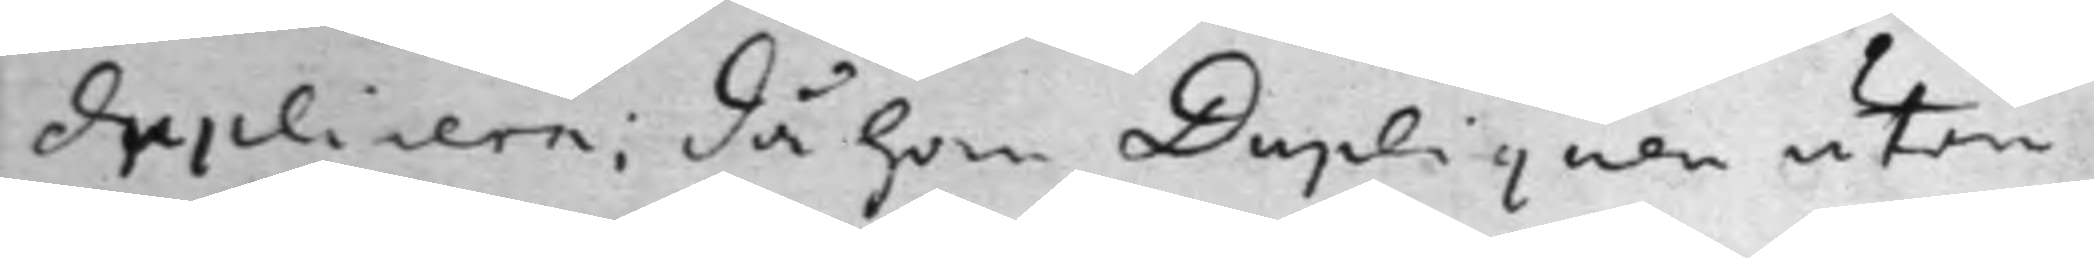duplicera: då han Dupliquen utan
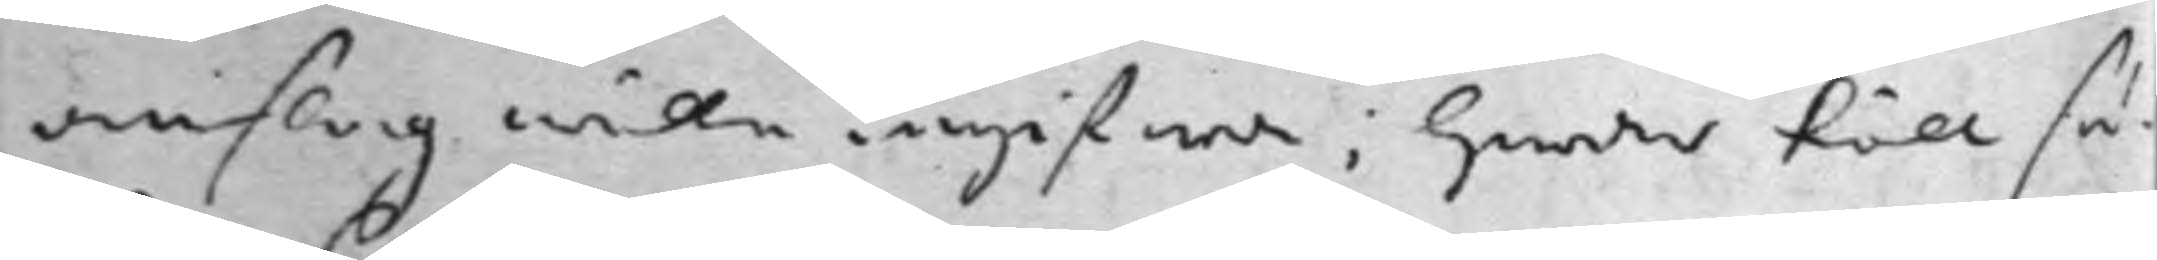omslag wille ingifwa; Hwar till så¬
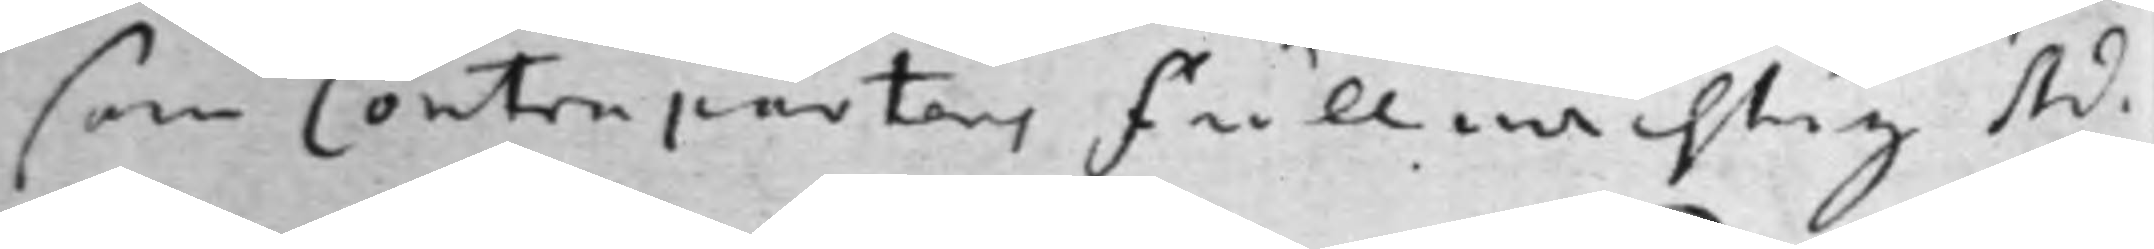som Contrapartens Fullmächtig Ad¬
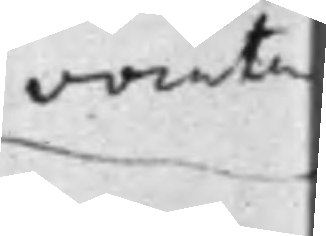vocaten
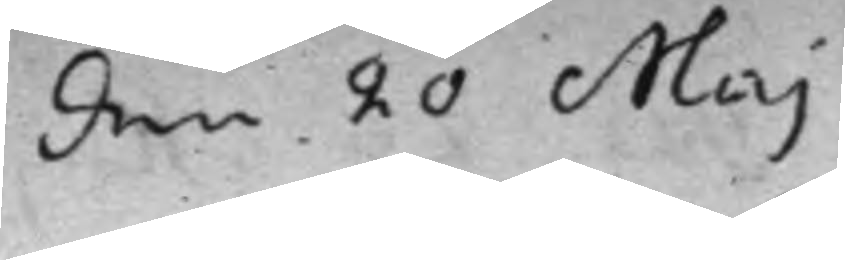den 20 Maj
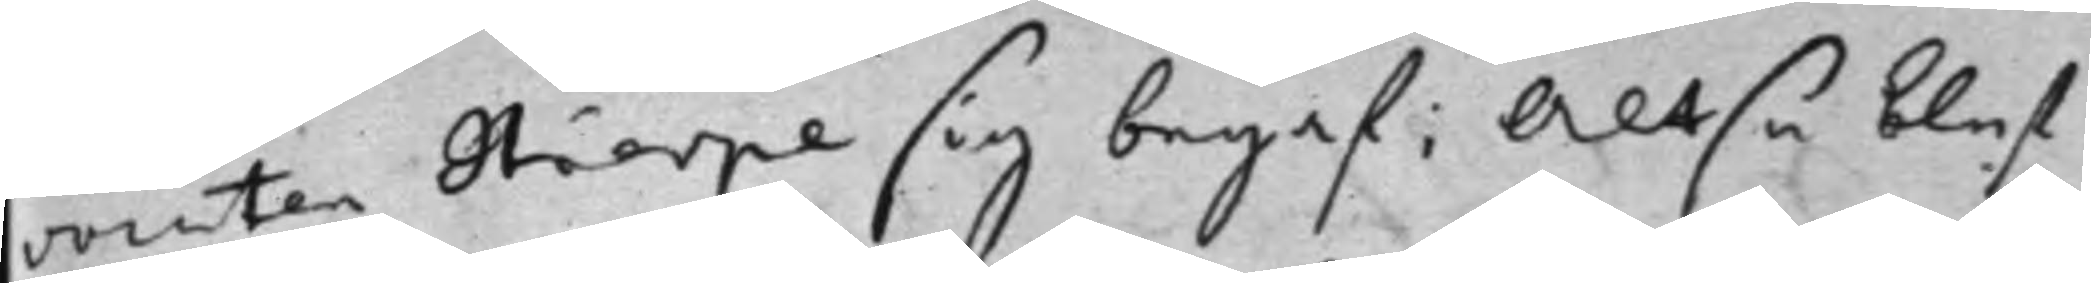vocaten Hierpe sig begaf; Altså blef<
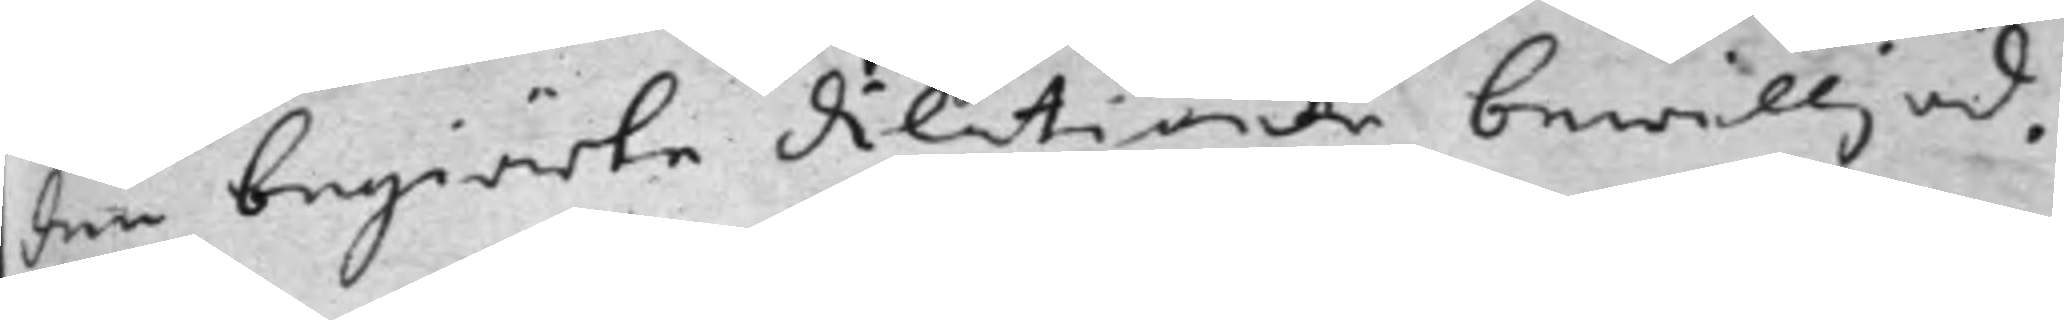den begiärte dilationen bewilljad.
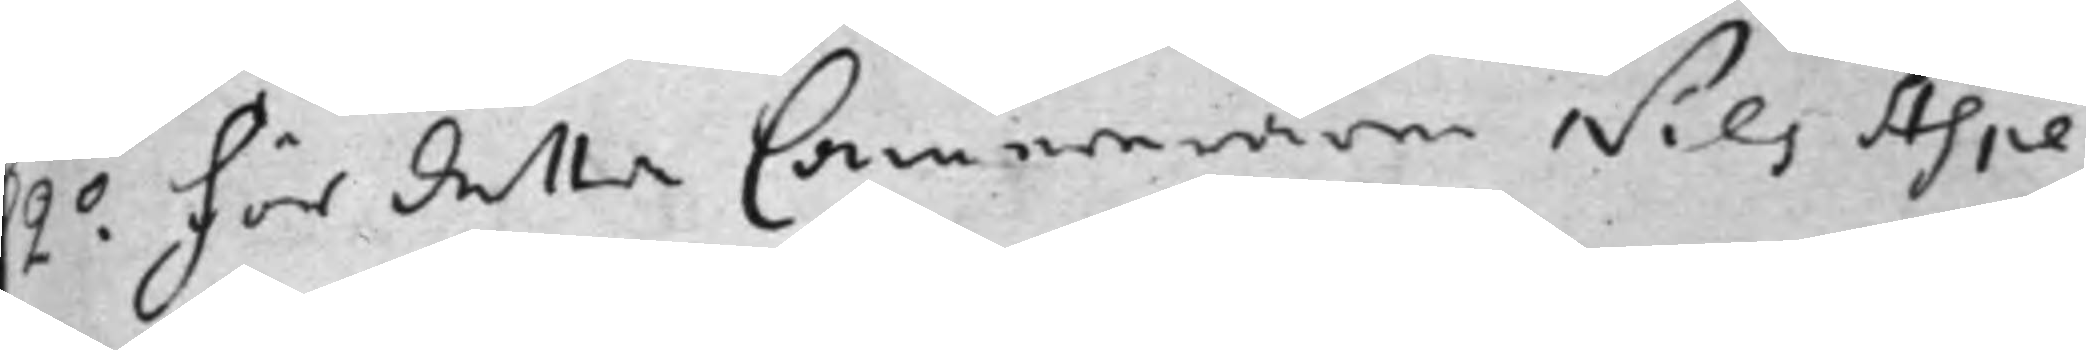2.o För detta Camereraren Nils Aspe¬
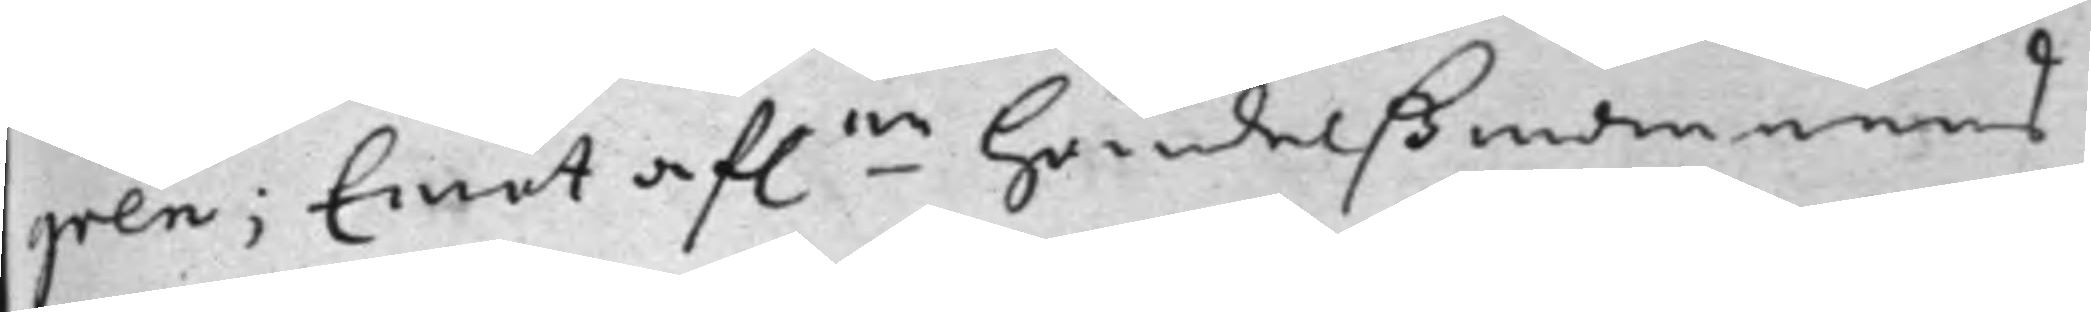gren; Emot af.ne Handelßmannens
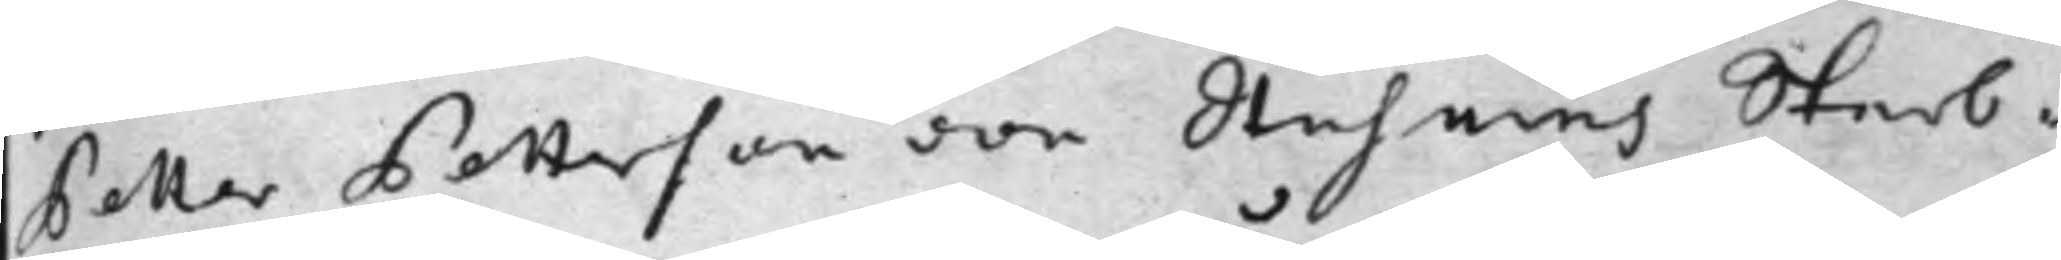Petter Petterson von Stuhnens Sterb¬
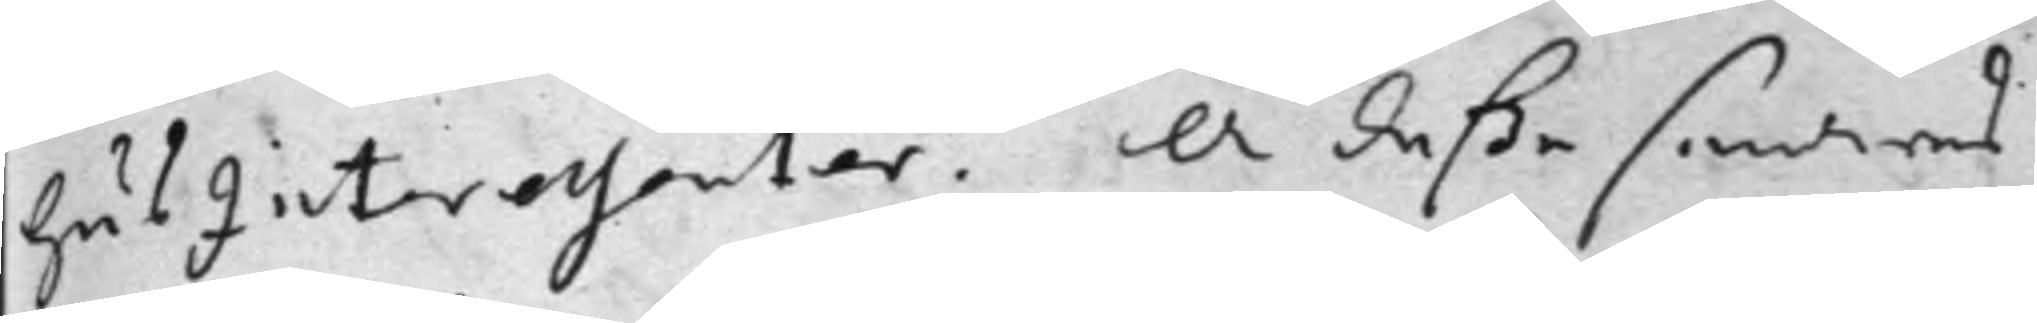HusInteressenter. Å deßa senares
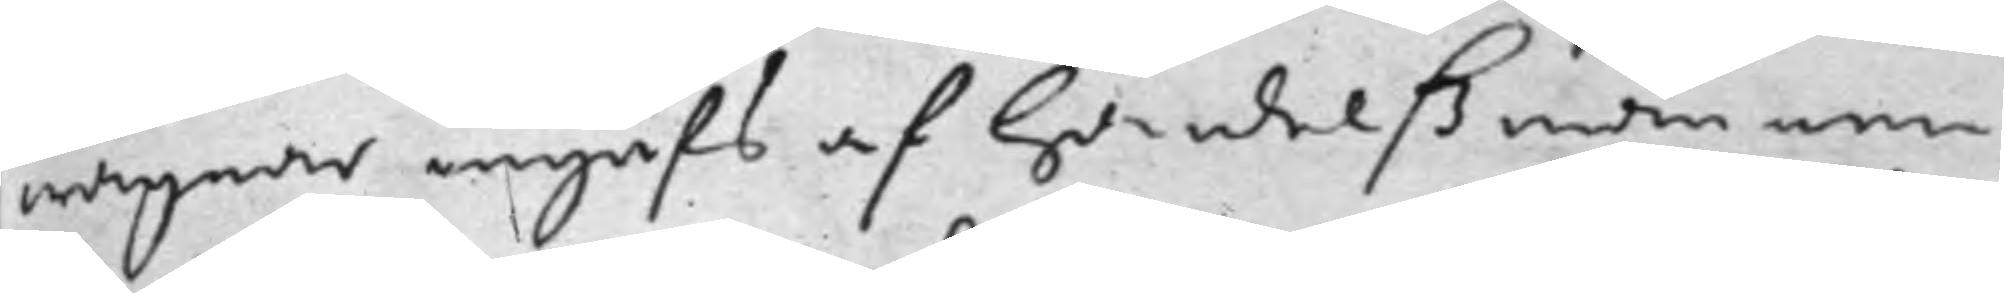wägnar ingafs af Handelßmannen
